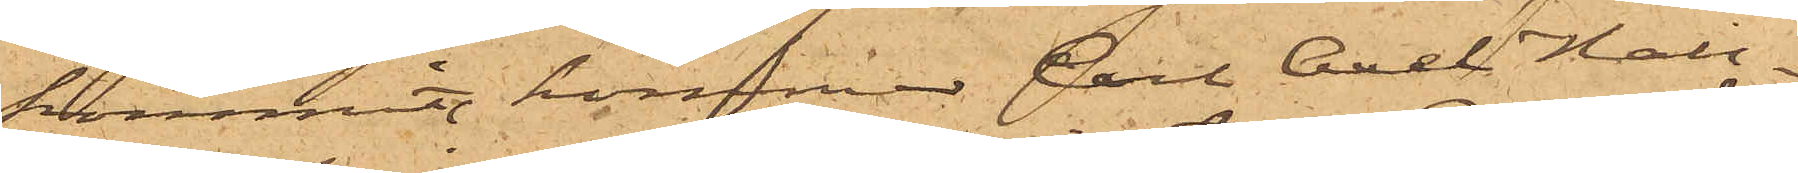kommit, kommer Carl Axel Hall¬
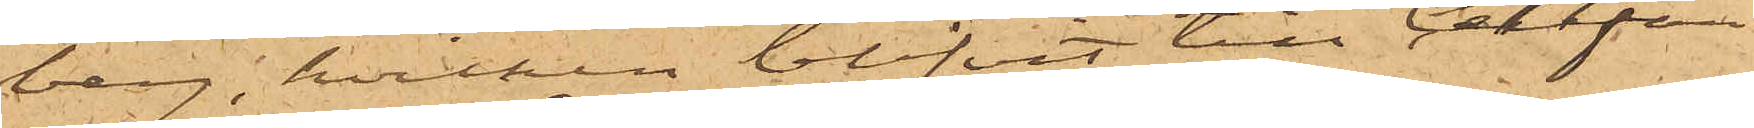berg, hvilken blifvit till Cellfän¬
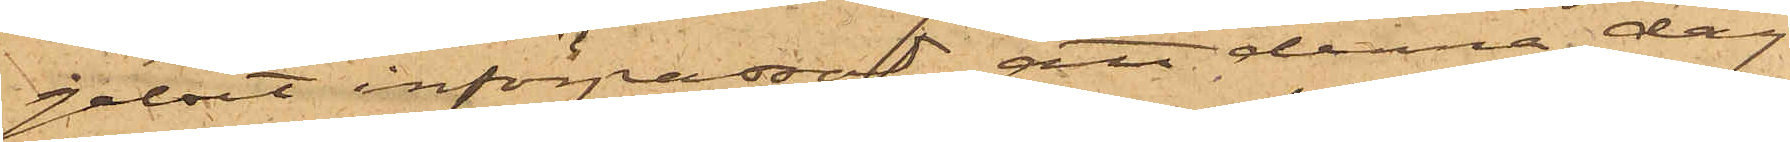gelset införpassad, att denna dag
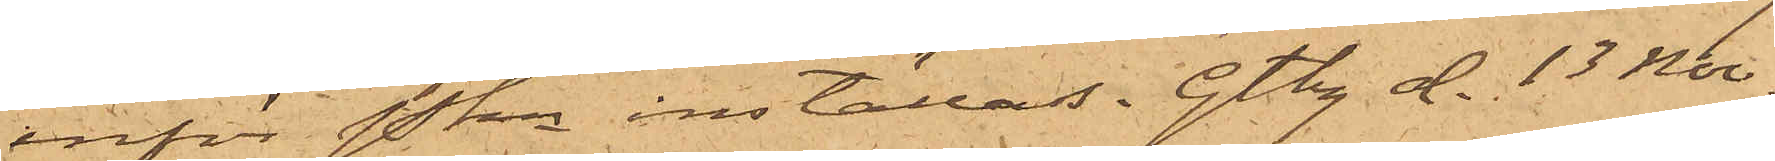inför Pkn inställas. Gtbg d. 13 Nov.
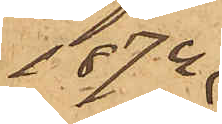1874.
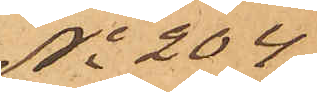No 204
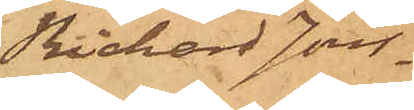Richard Jons¬
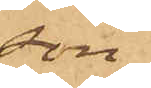son.
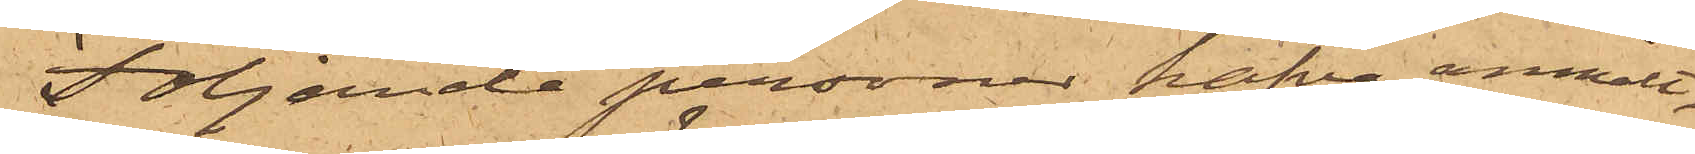Följande personer hafva anmält,
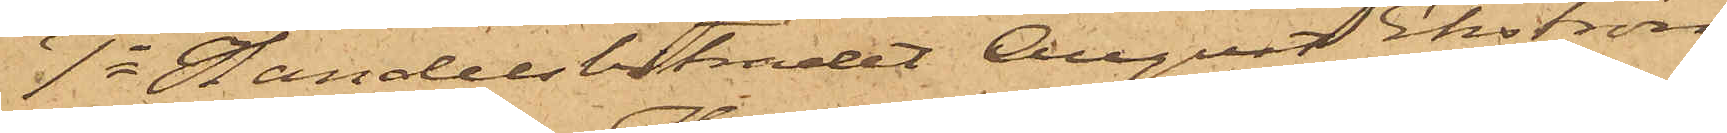1o Handelsbiträdet August Ekström,
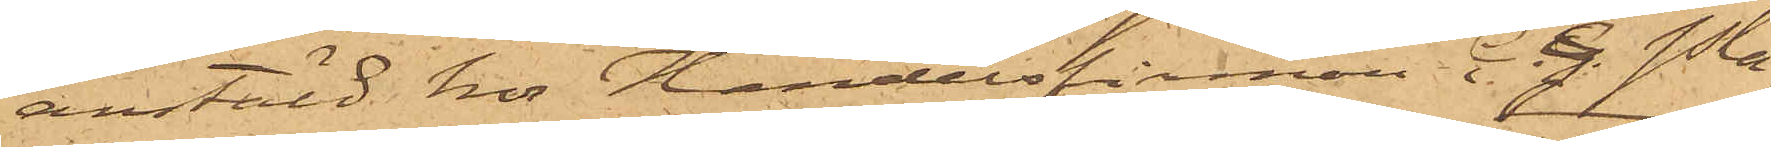anstäld hos Handelsfirman C.G. Pla¬
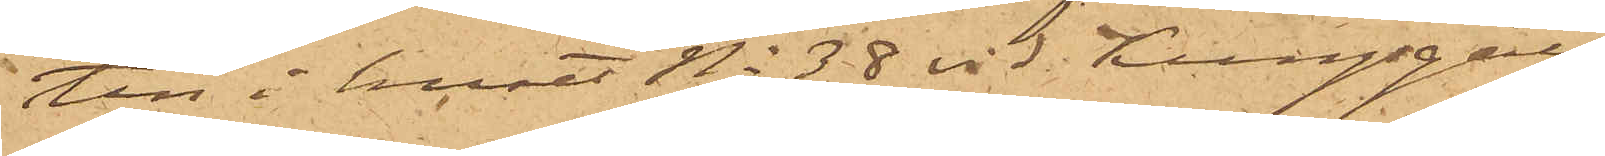tin i huset No 38 vid Kungsgatan
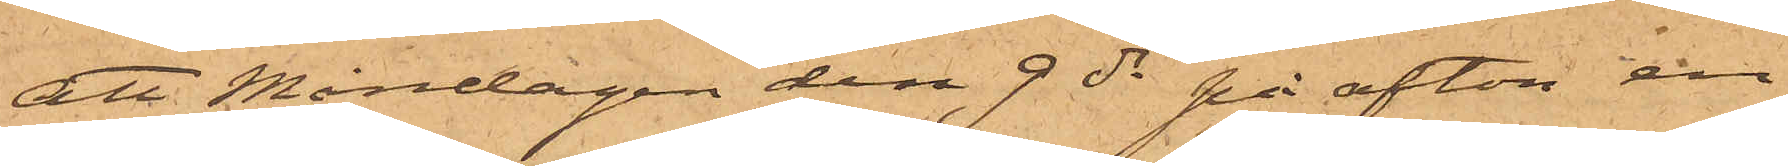att Måndagen den 9 ds på afton en
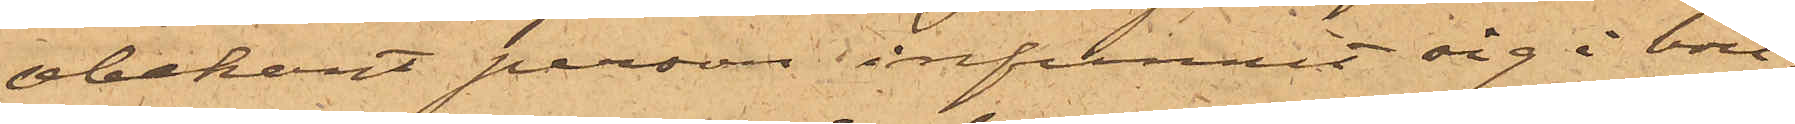obekant person infunnit sig i bou¬
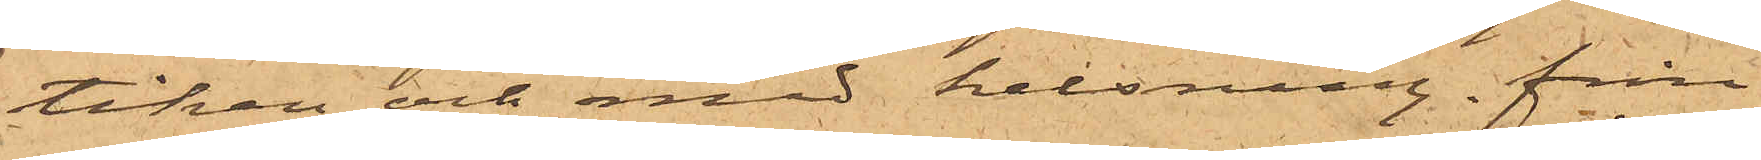tiken och med helsning från
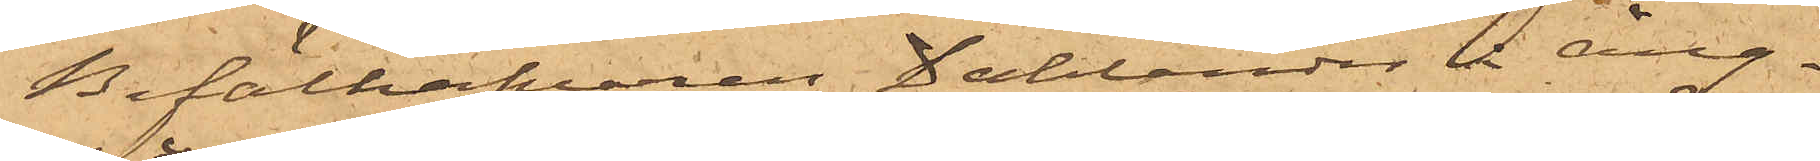Befälhafvaren Dahlander å Ång¬
